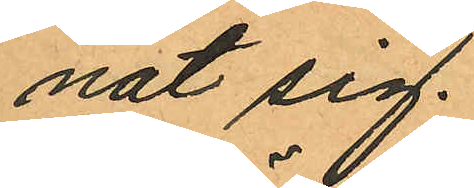nat sig.
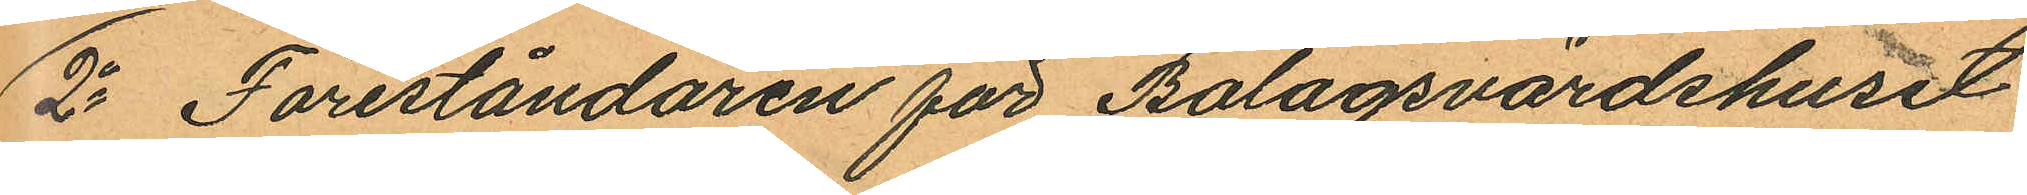2o Föreståndaren för Bolagsvärdshuset
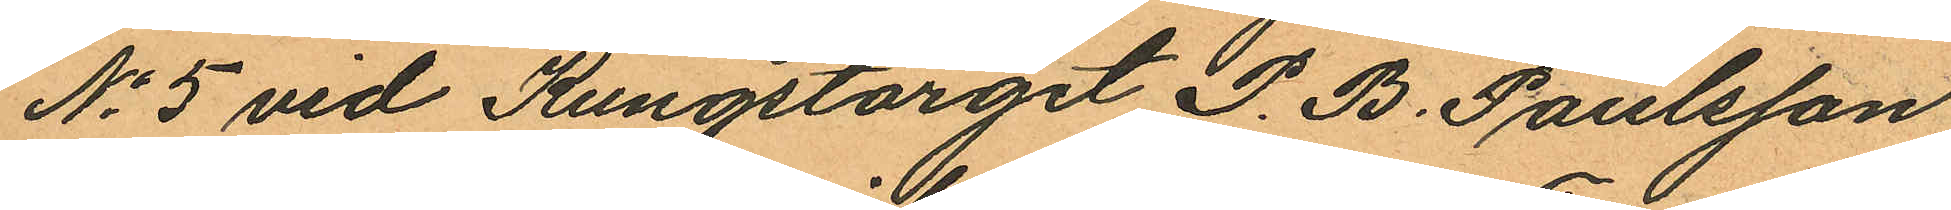No 5 vid Kungstorget P. B. Paulsson
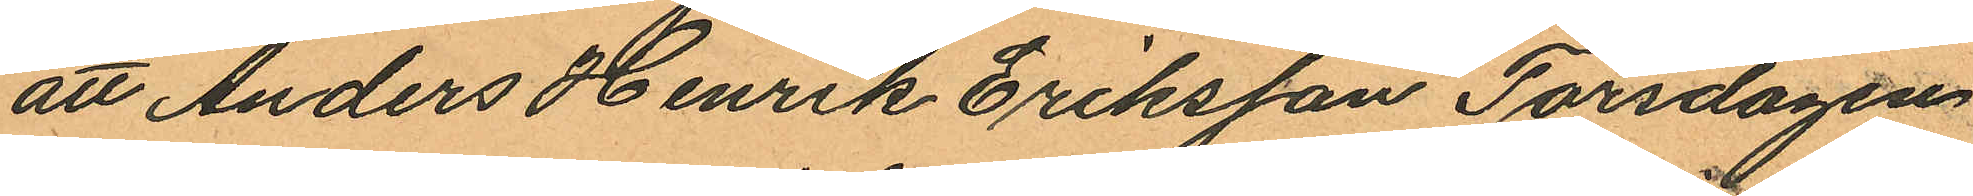att Anders Henrik Eriksson Torsdagen
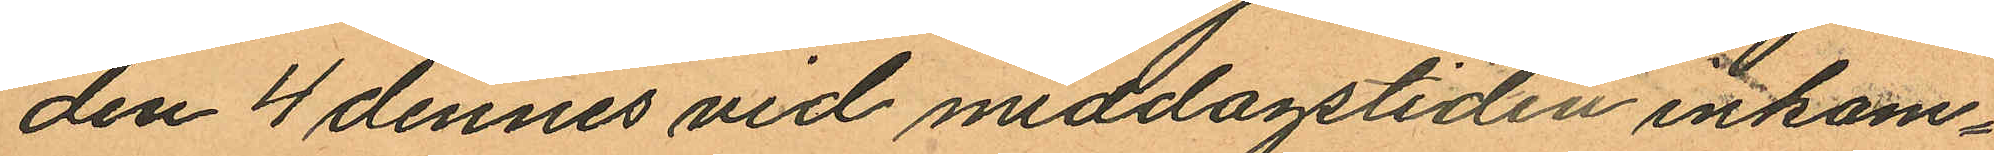den 4 dennes vid middagstiden inkom¬
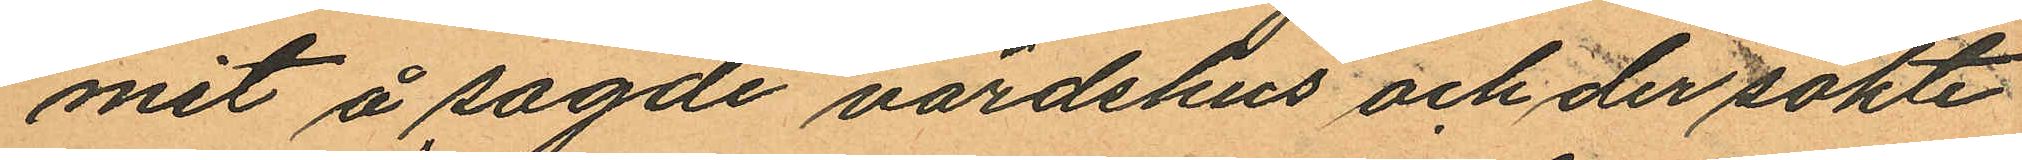mit å sagde värdshus och der sökte
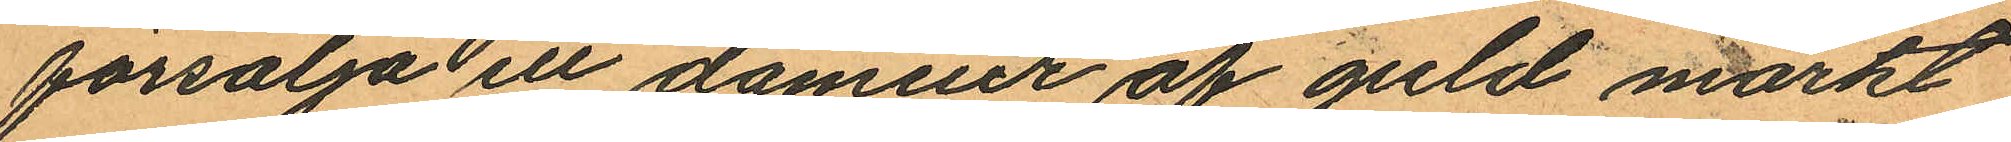försälja ett damur af guld märkt
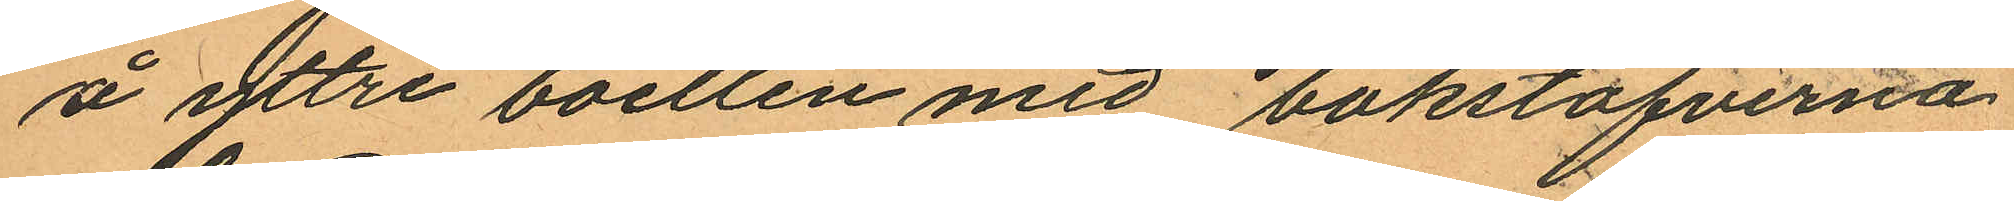å yttre boetten med bokstäfverna
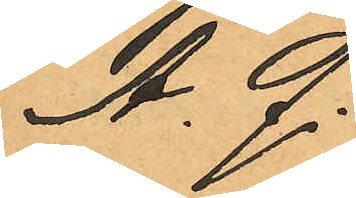A. Q.
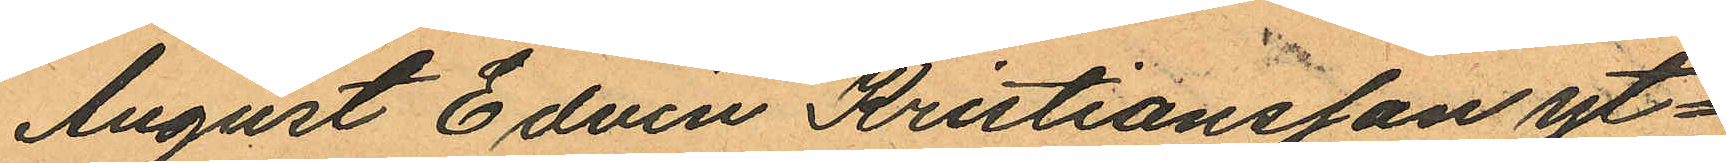August Edvin Kristiansson yt¬
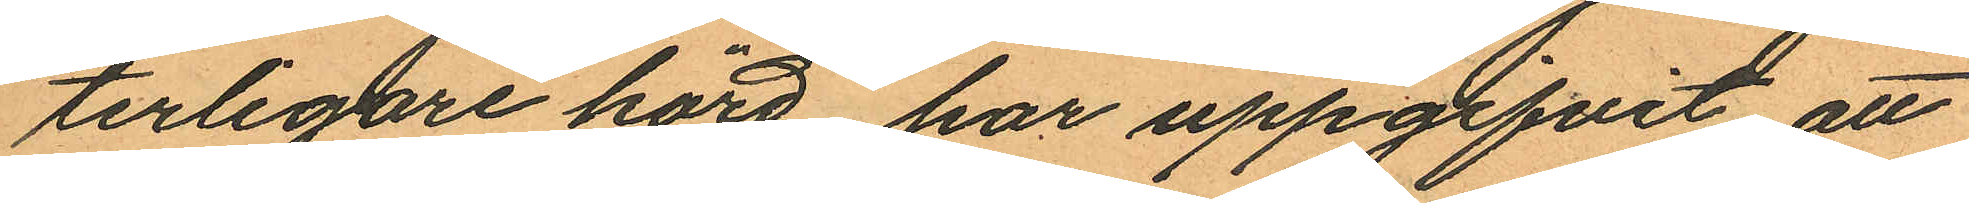terligare hörd har uppgifvit att
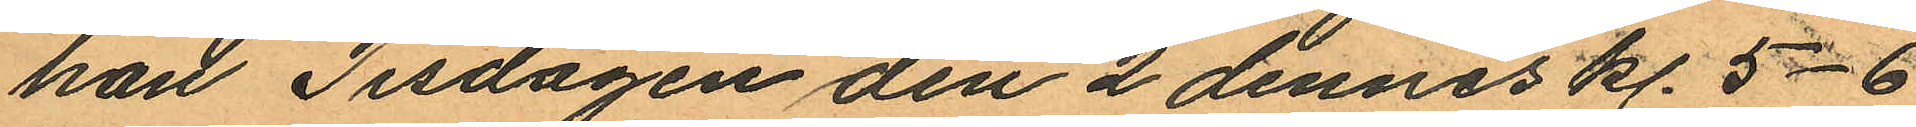han Tisdagen den 2 dennes kl. 5-6
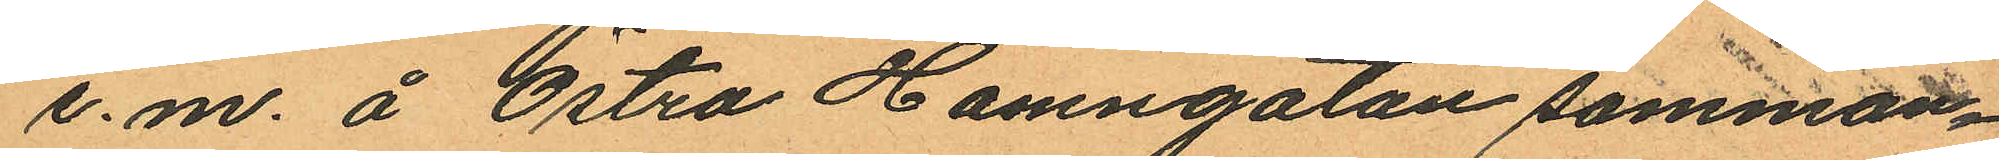e.m. å Östra Hamngatan samman¬
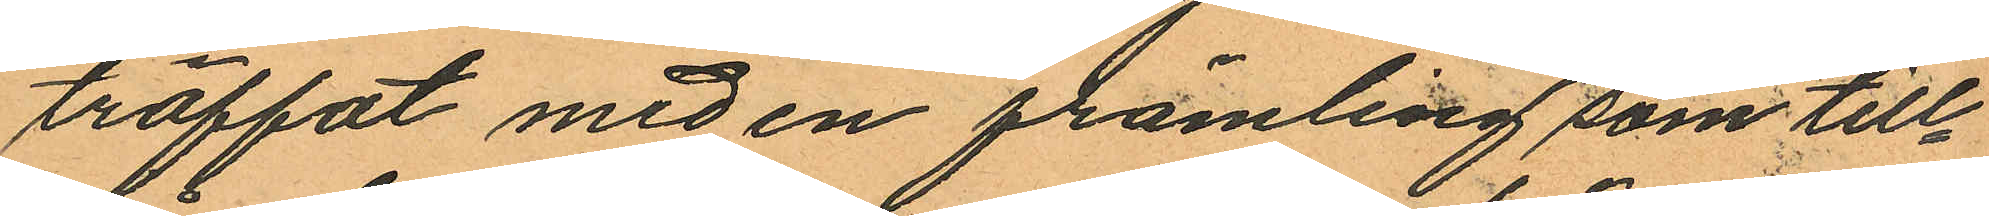träffat med en främling som till¬
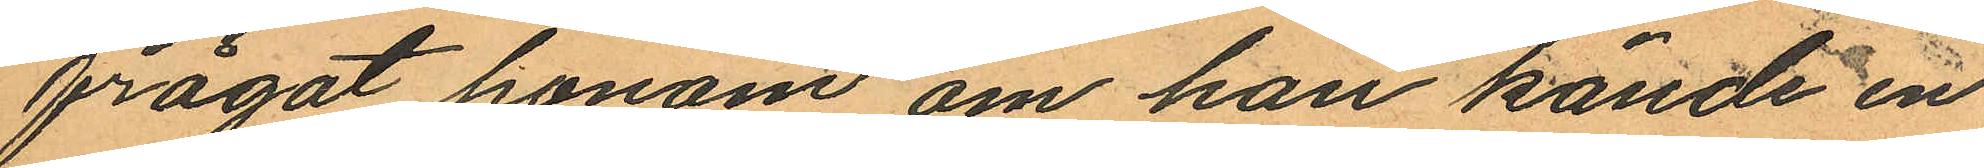frågat honom om han kände en
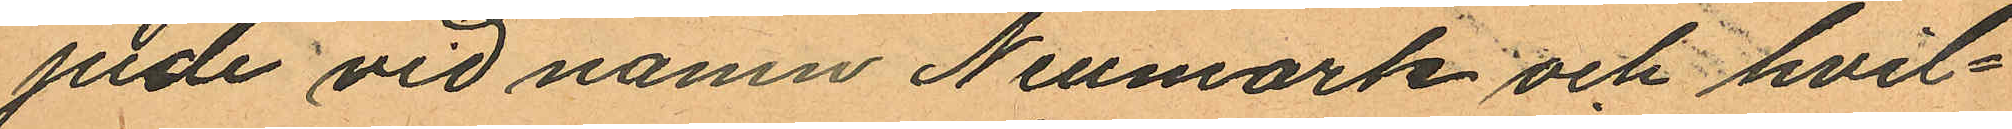jude vid namn Neumark och hvil¬
